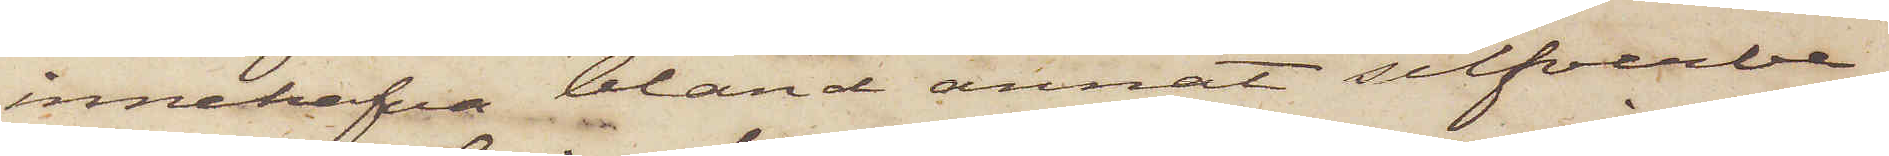innehafva bland annat silfverbe¬
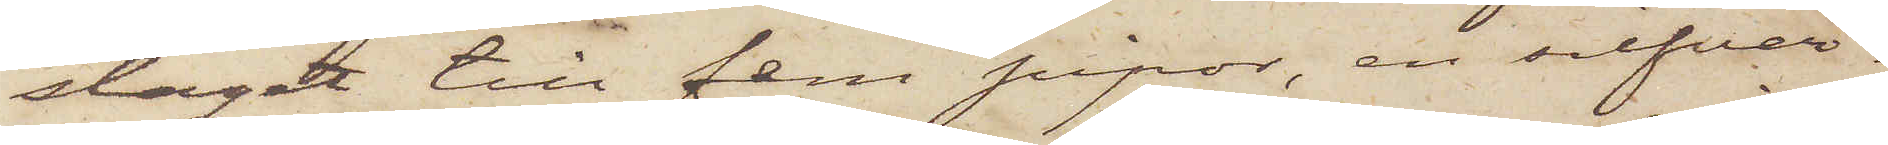slaget till fem pipor, en silfver¬
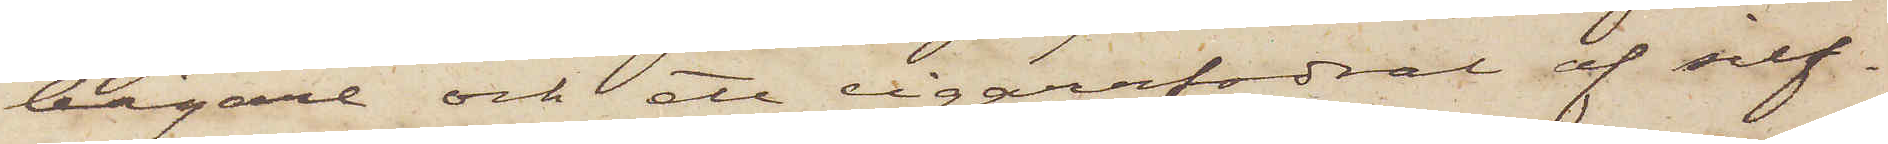bägare och ett cigarrfodral af silf¬
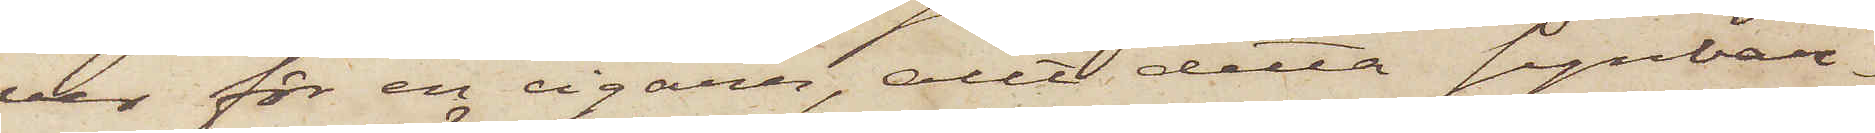ver för en cigarr, allt detta synbar¬
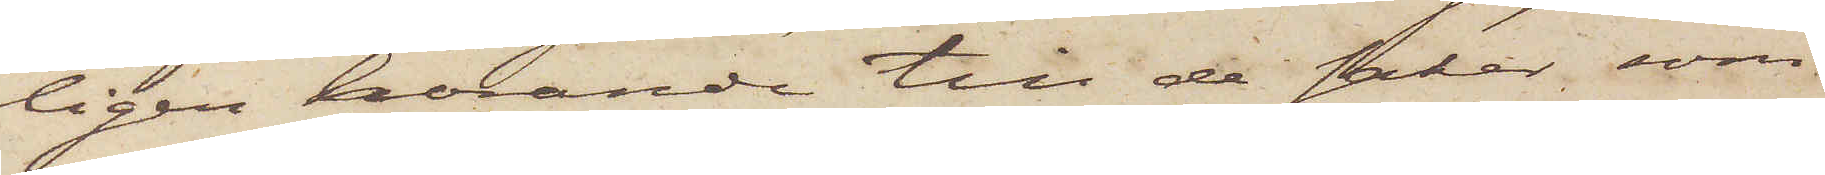ligen hörande till de saker, som
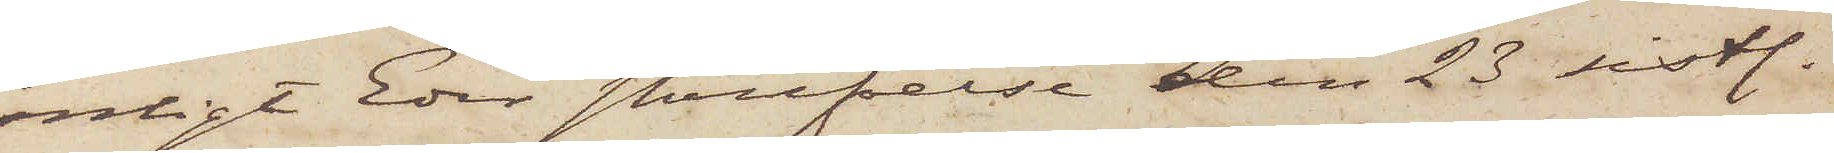enligt Eder skrifvelse den 23 sistl.
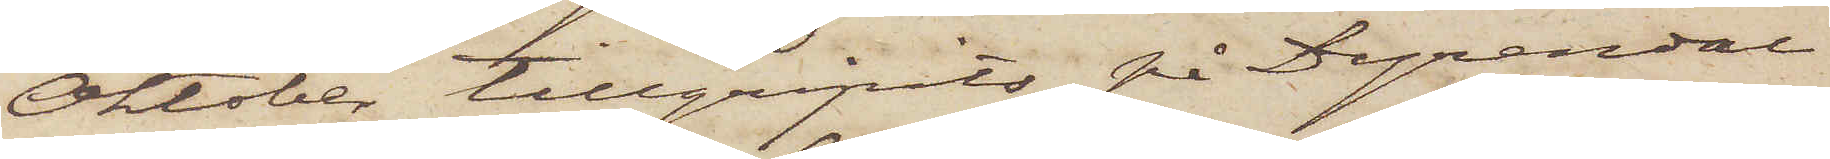Oktober tillgripits på Dyrendal
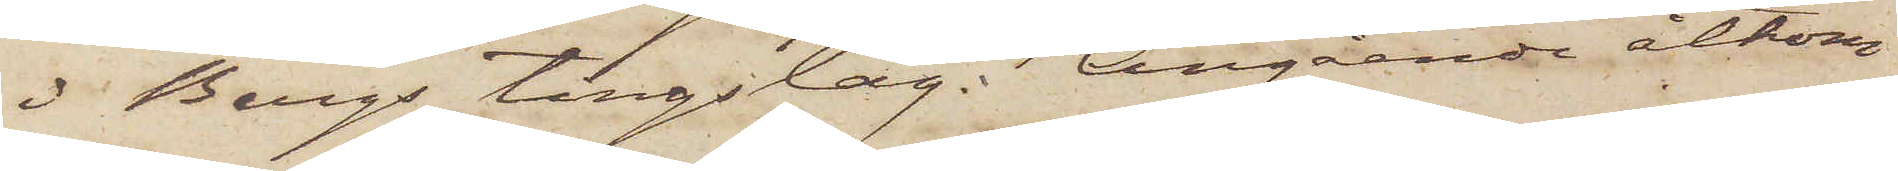i Bergs tingslag. Angående åtkom¬
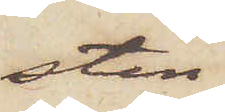sten
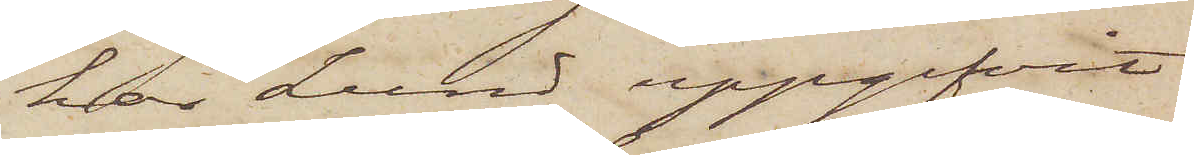har Lund uppgifvit
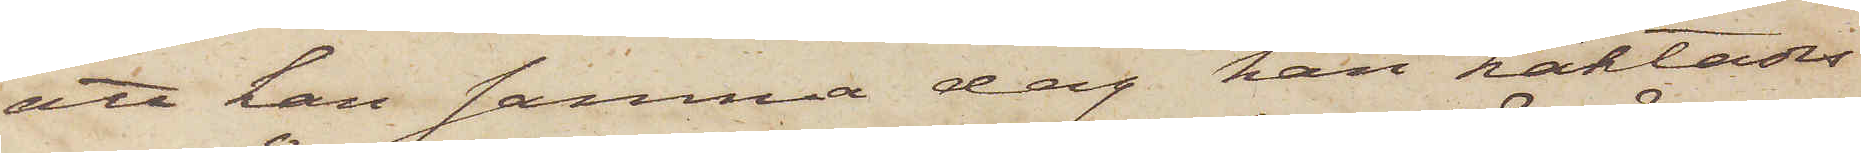att han samma dag han häktades
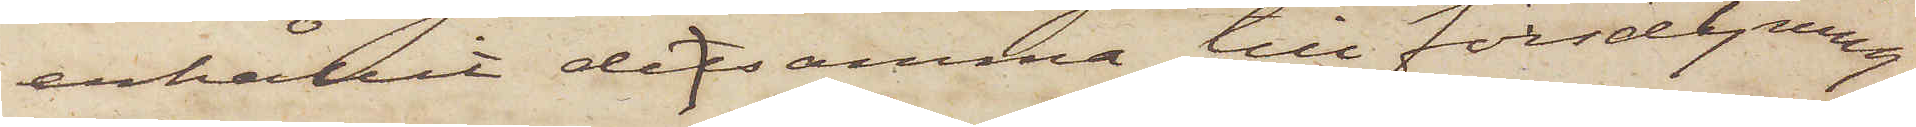erhållit detsamma till försäljning
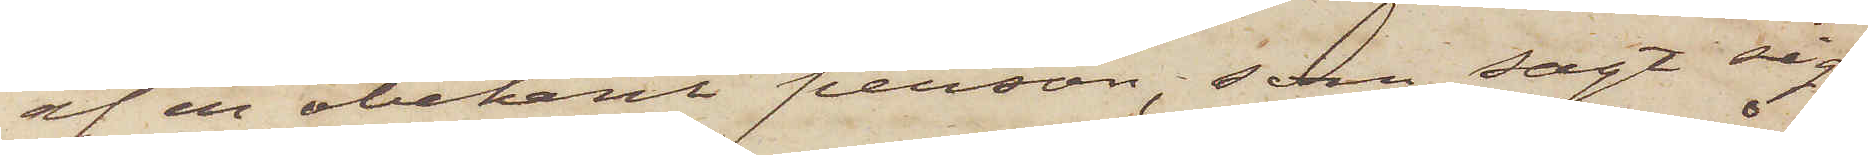af en obekant person, som sagt sig
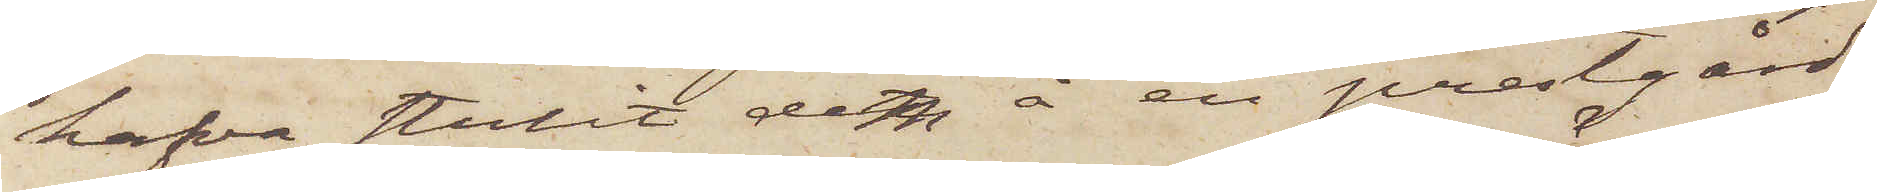hafva stulit dem å en prästgård
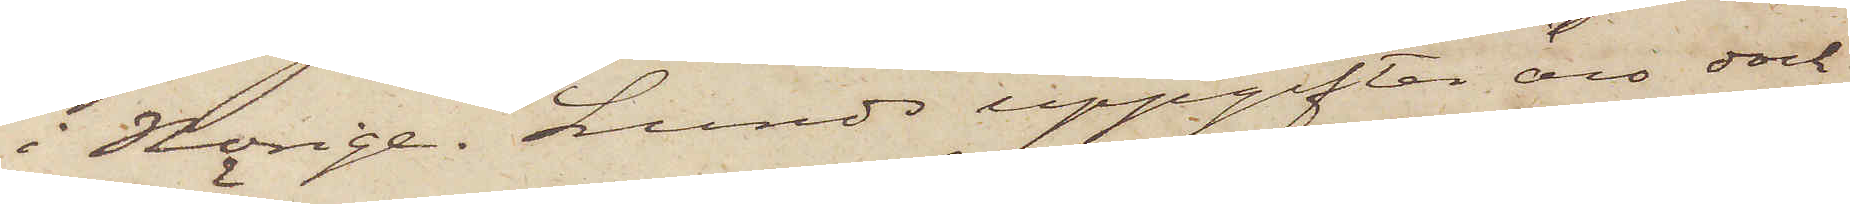i Norige. Lunds uppgifter äro dock
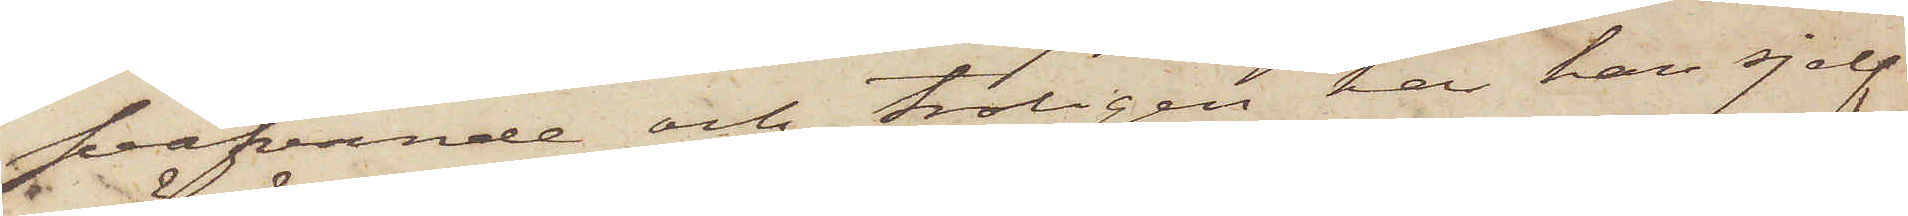sväfvande och troligen har han sjelf
